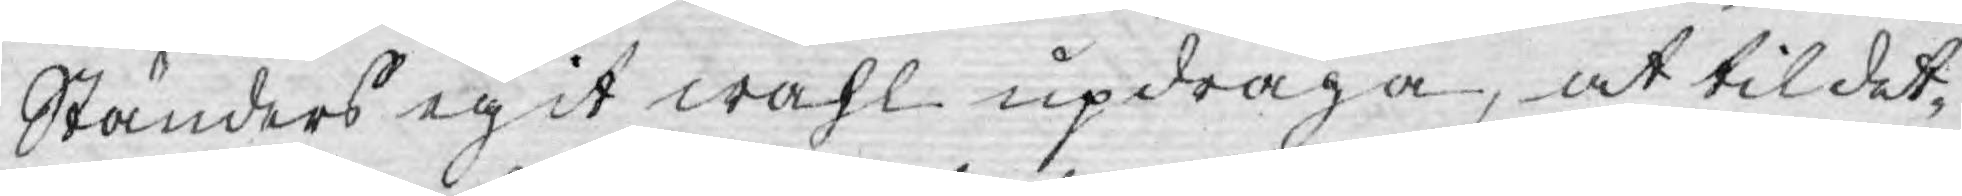Ständers egit wahl updraga, at til det¬
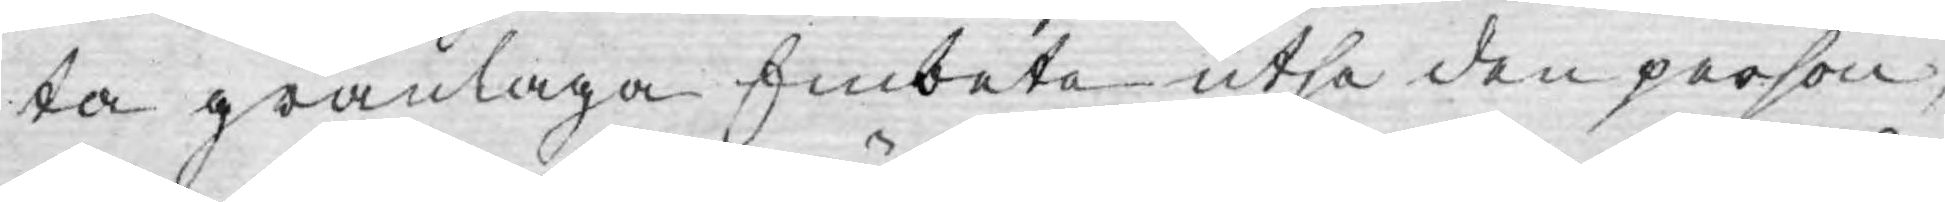ta granlaga Embete utse den person,
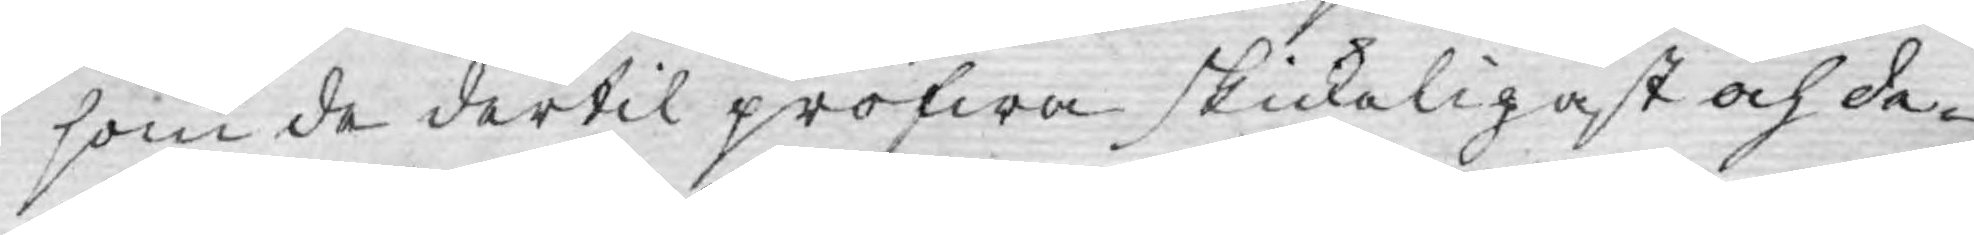som de dertil pröfwa skickeligast och de¬
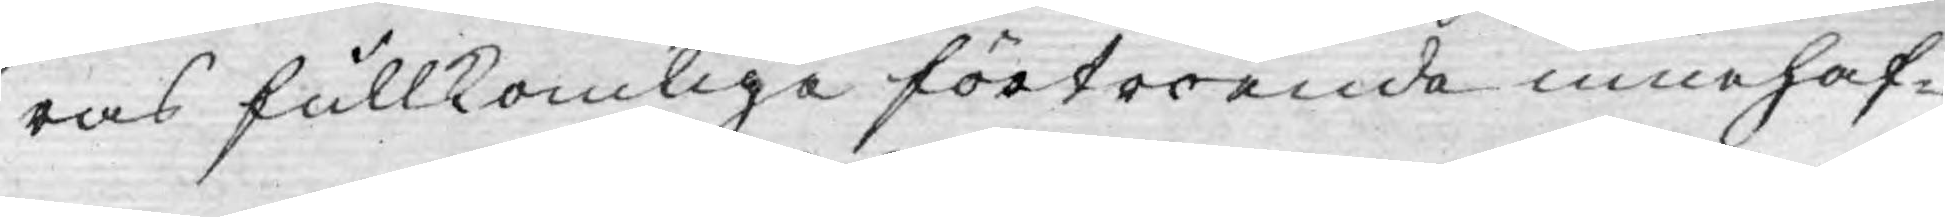ras fullkomliga förtroende innehaf¬
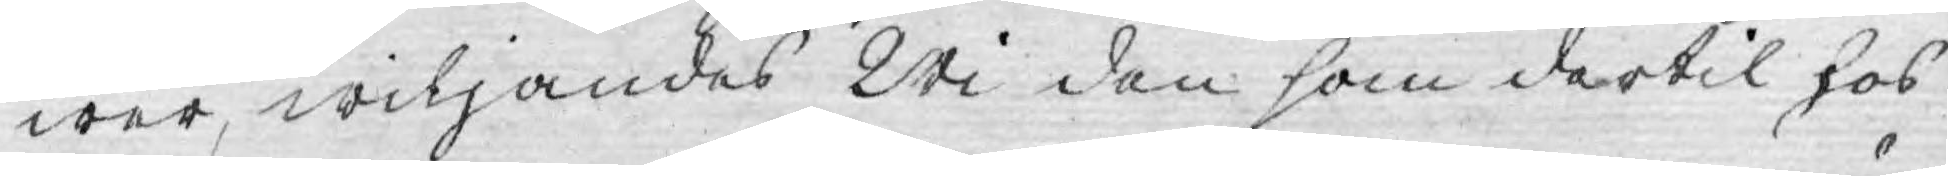wer, wiljandes Wi den som dertil hos
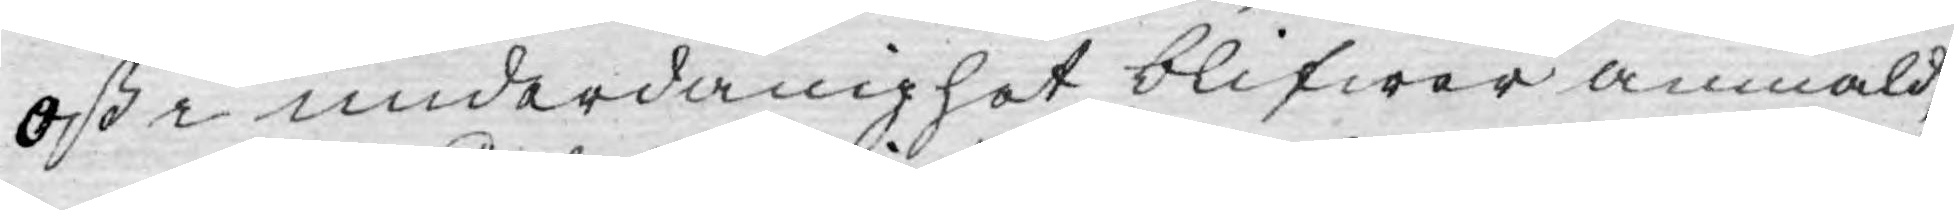oss i underdånighet blifwer anmäld,
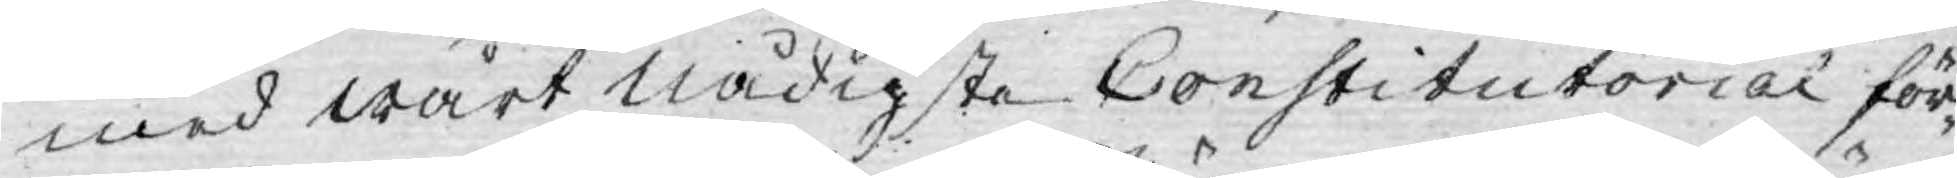med wårt nådigste Constitutorial för¬
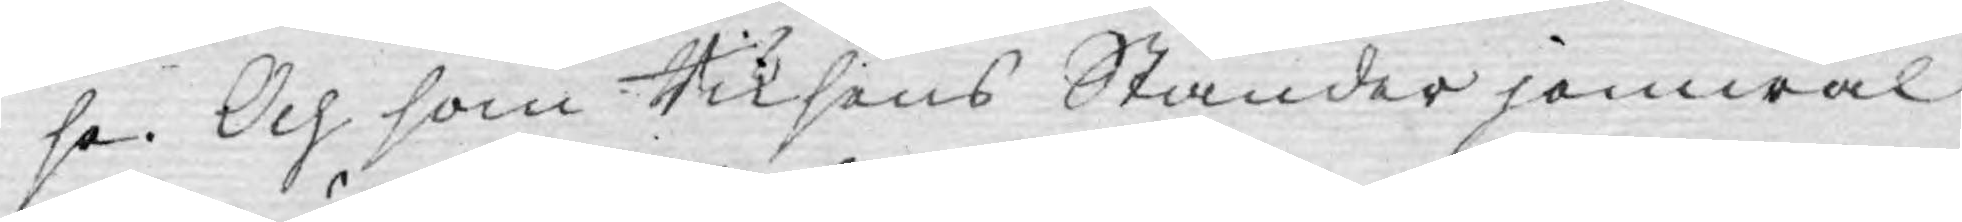se. Och som Riksens Ständer jemwäl
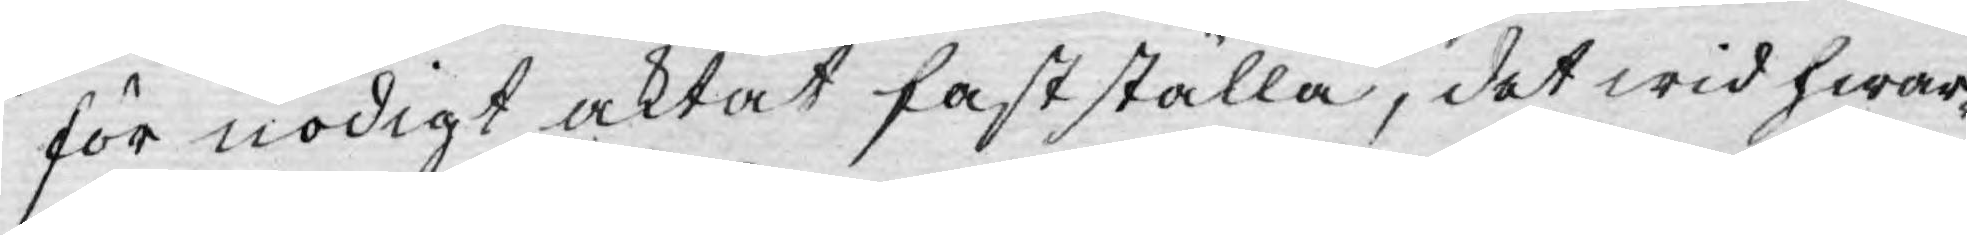för nödigt aktat fastställa, det wid hwar¬
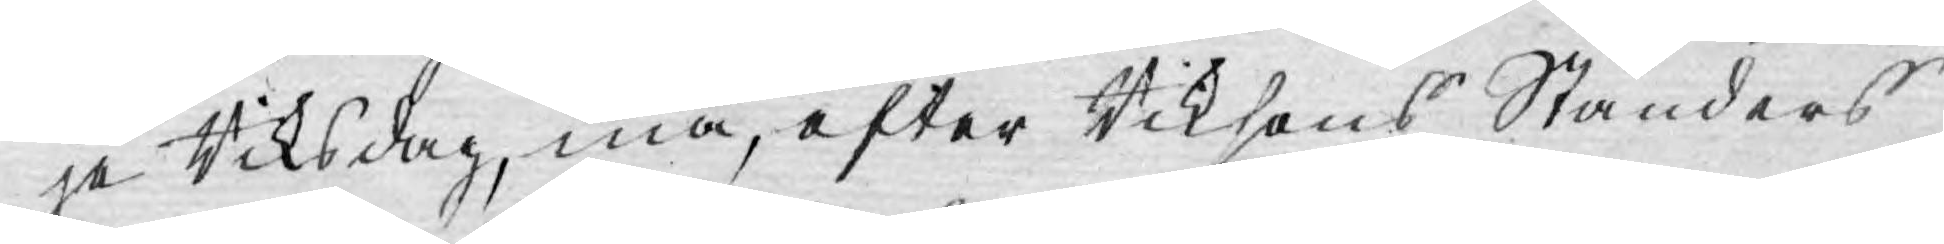je Riksdag, må, efter Riksens Ständers
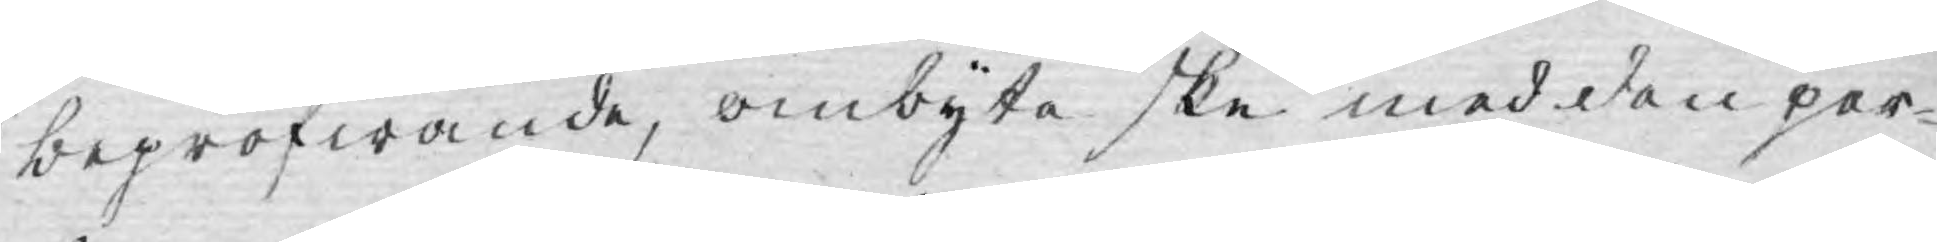bepröfwande, ombyte ske med den per¬
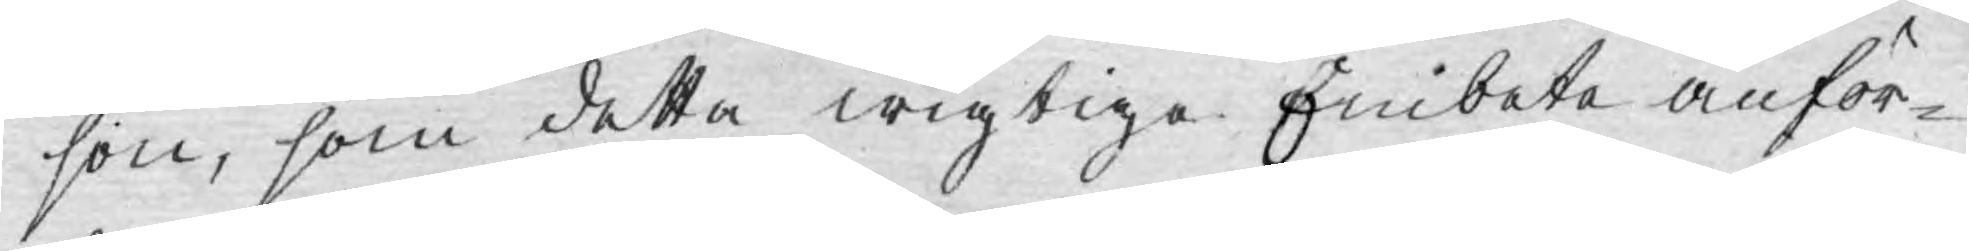son, som detta wigtiga Embete anför¬
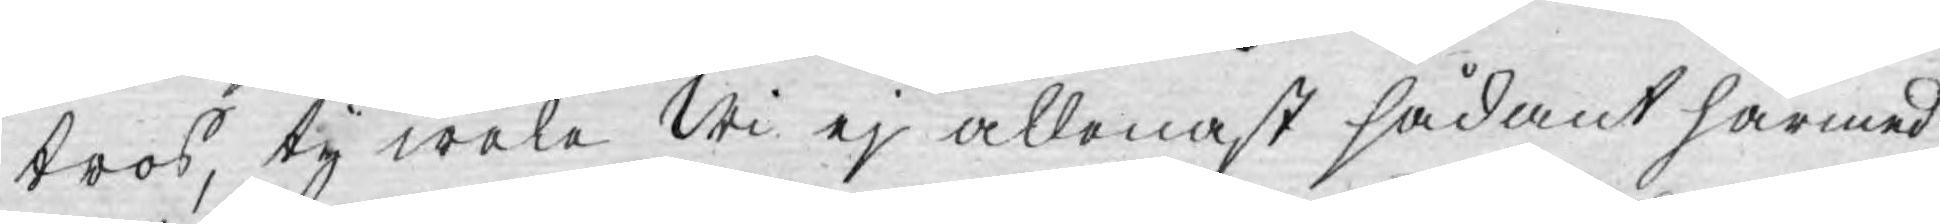tros, ty wela Wi ej allenast sådant härmed
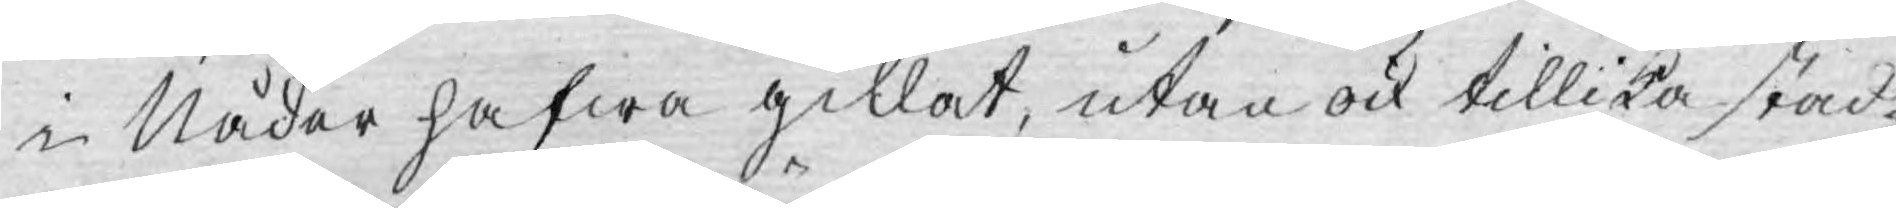i Nåder hafwa gillat, utan ock tillika stad¬
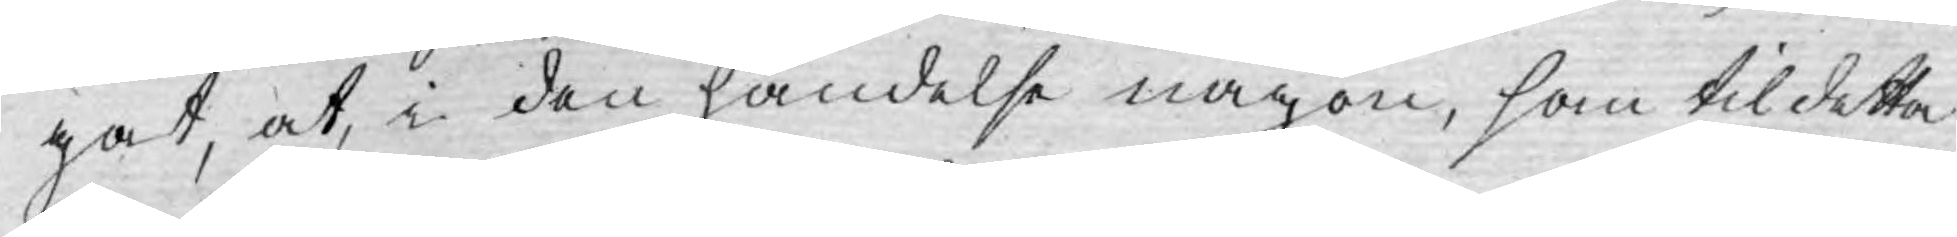gat, at, i den händelse någon, som til detta
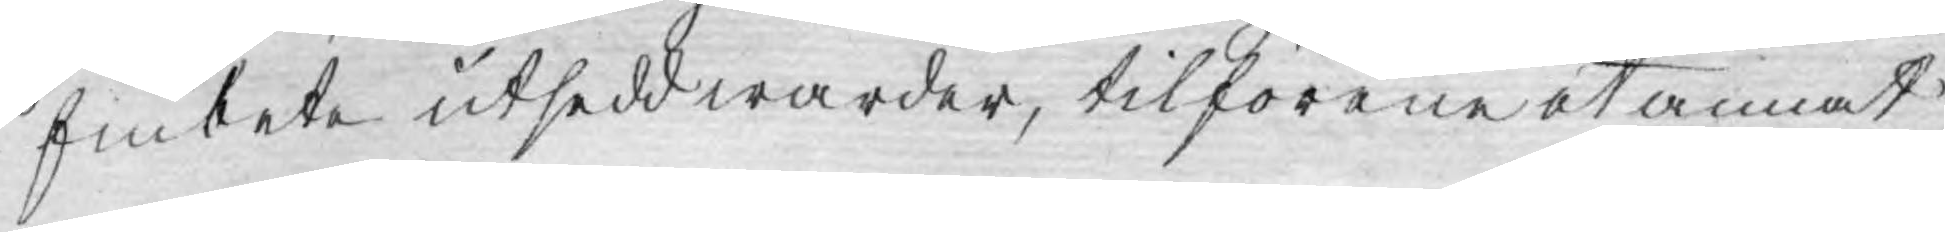Embete utsedd warder, tilförene at annat
